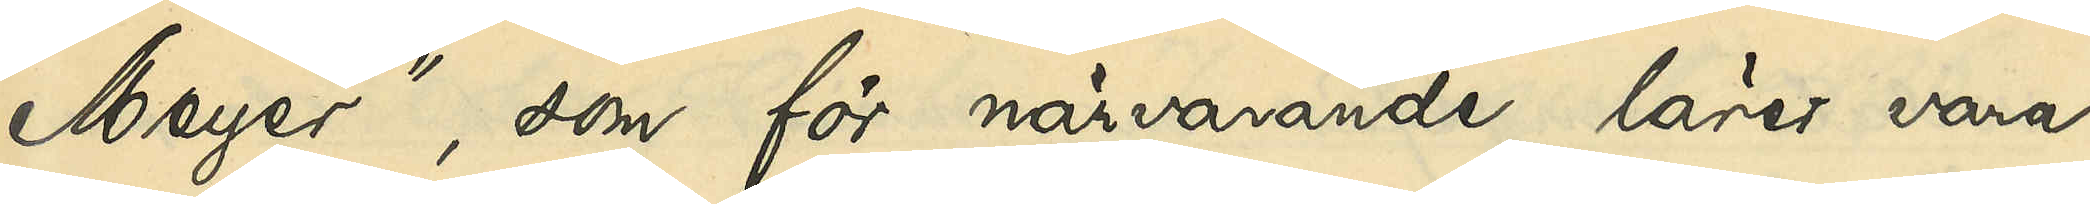Meyer", som för närvarande lärer vara
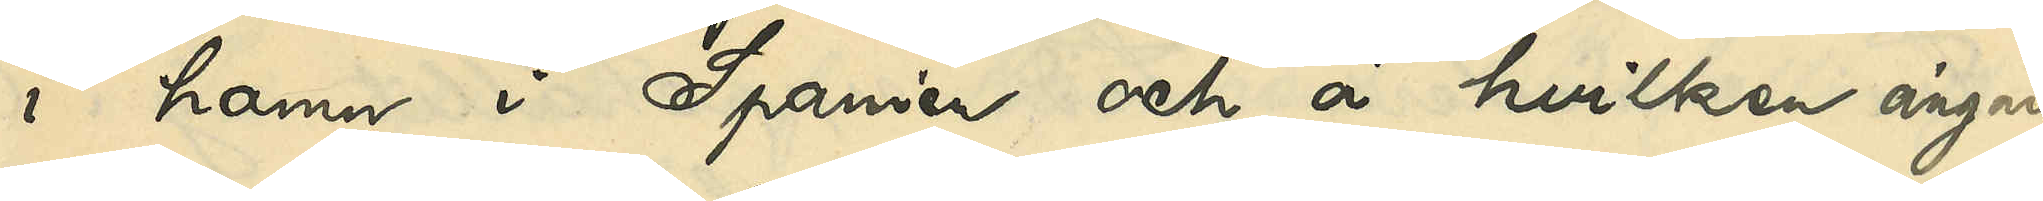i hamn i Spanien och å hvilken ångare
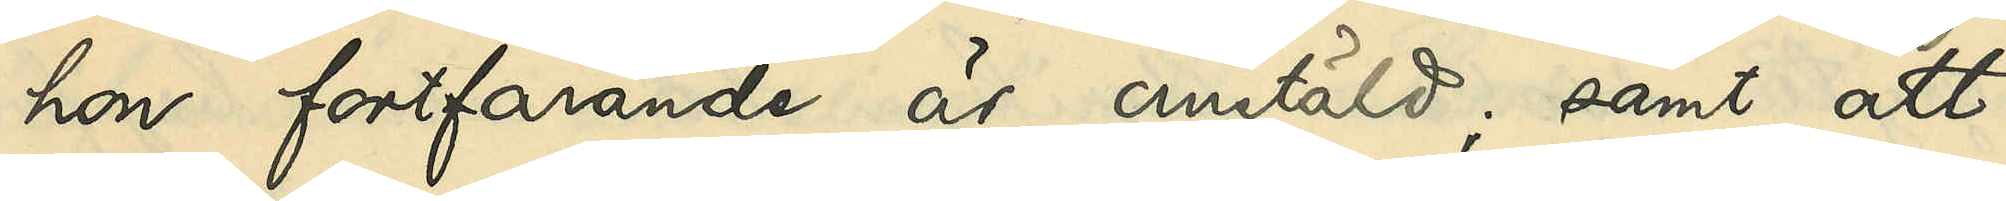hon fortfarande är anstäld; samt att
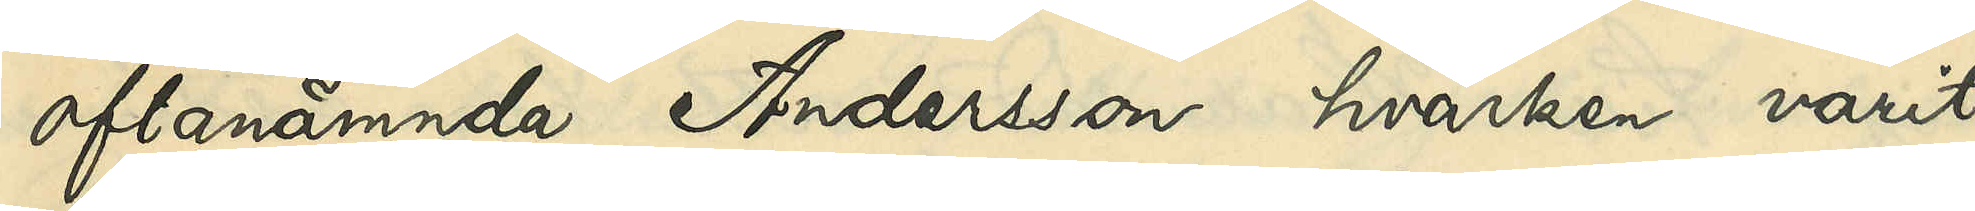oftanämnda Andersson hvarken varit
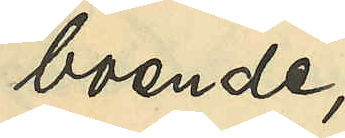boende,
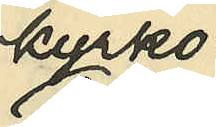kyrko-
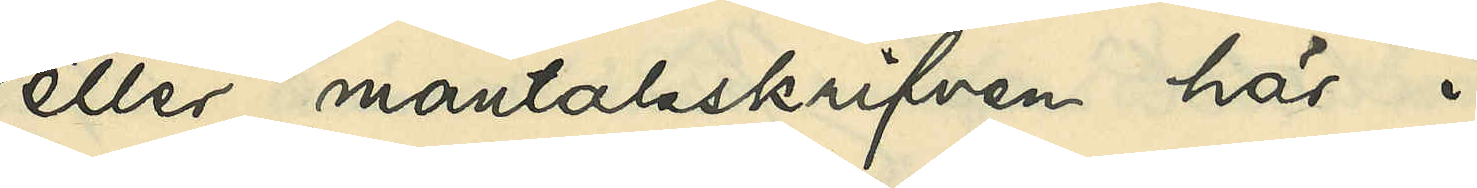eller mantalsskrifven här i
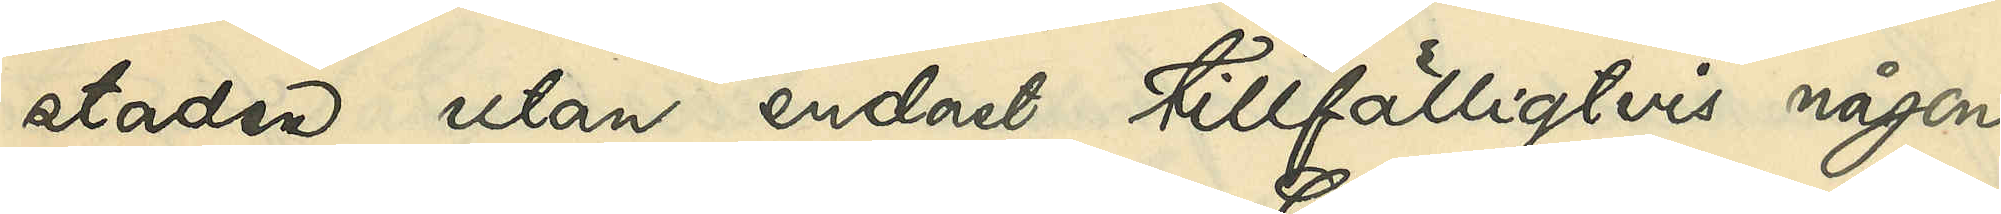staden utan endast tillfälligtvis någon
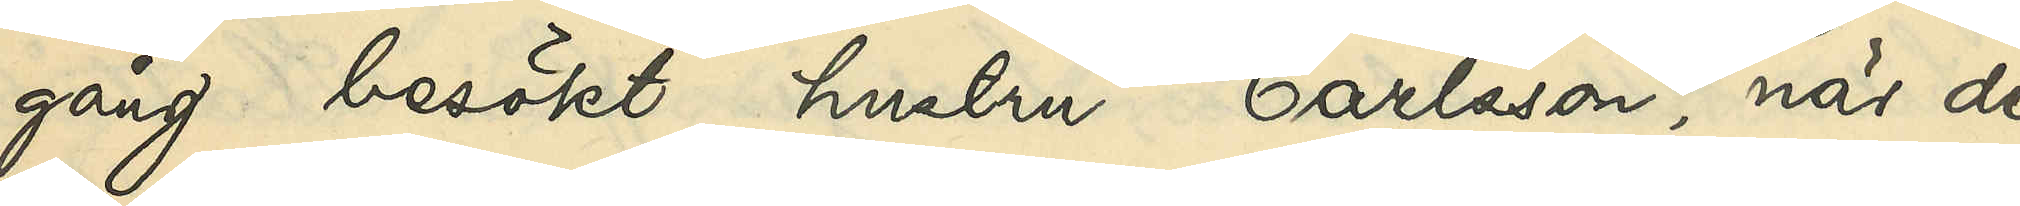gång besökt hustru Carlsson, när de
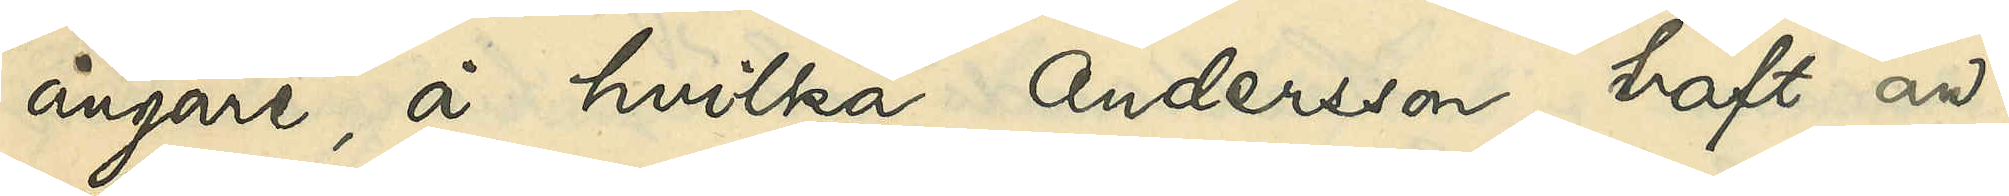ångare, å hvilka Andersson haft an¬
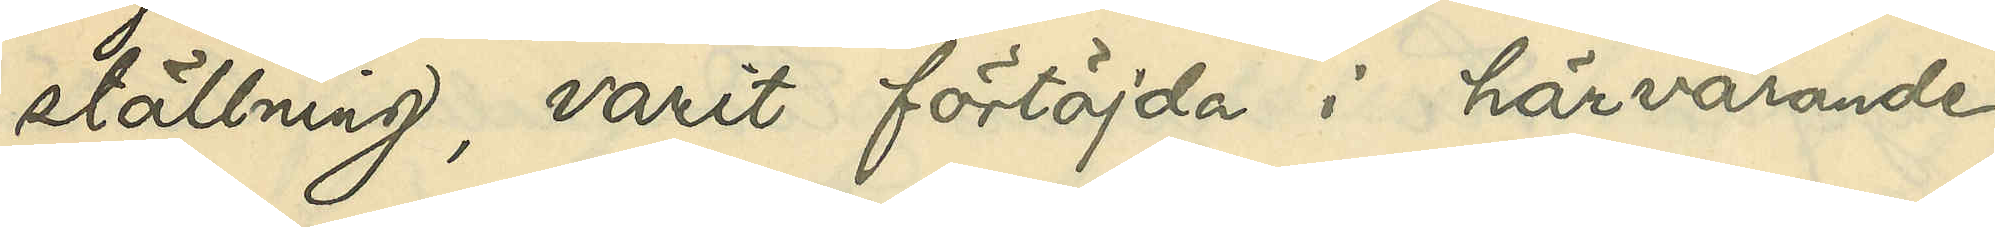ställning, varit förtöjda i härvarande
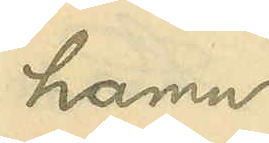hamn.
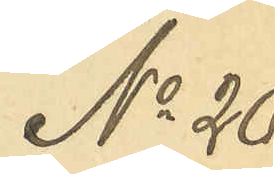No 20
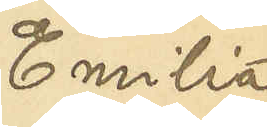Emilia
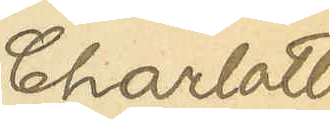Charlotta
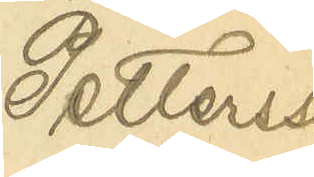Pettersson
